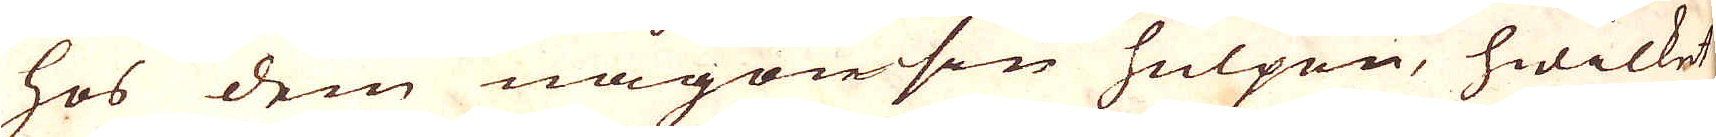hos dem någonsin hulpen, hwilket
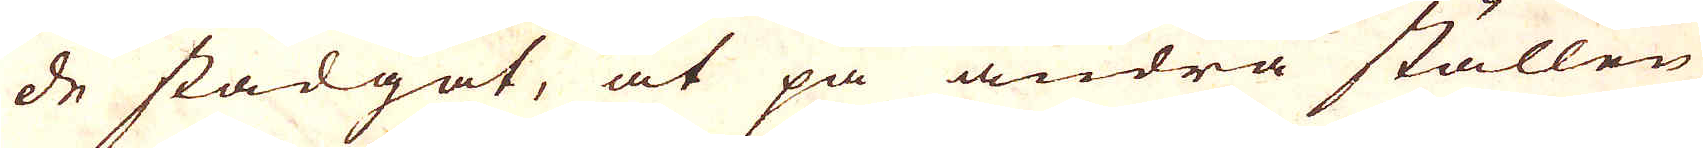de stadgat, at på andra ställen
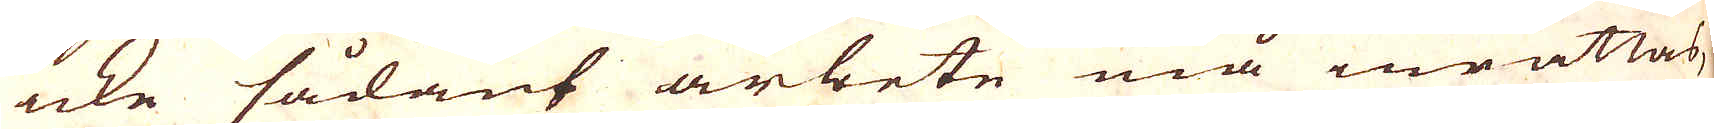icke såkant arbete må inrättas,
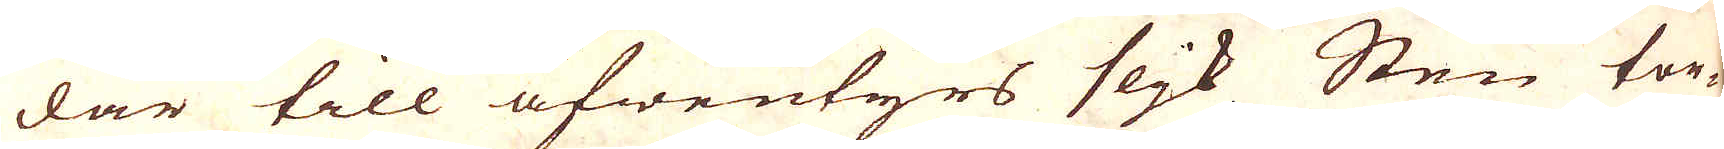där till äfwentyrs slijk Sten tor-
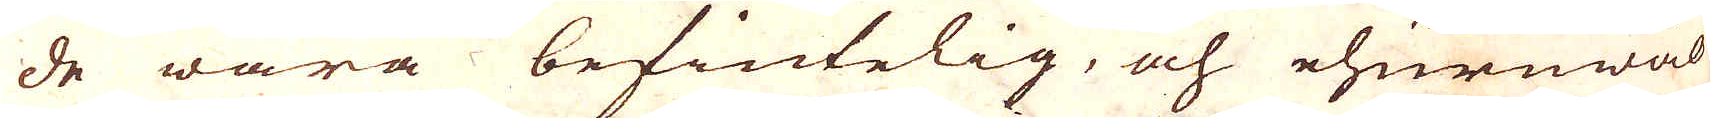de wara befintelig, och ehuruwäl
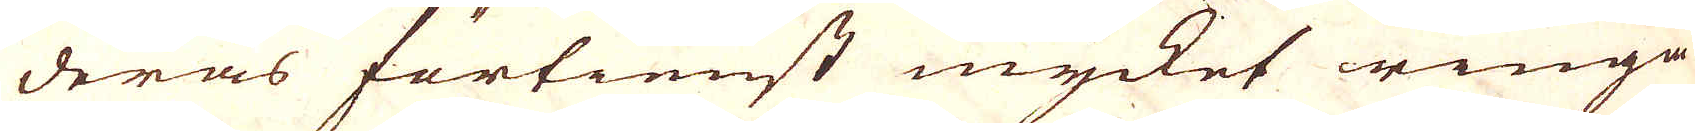deras förtienst mycket ringa
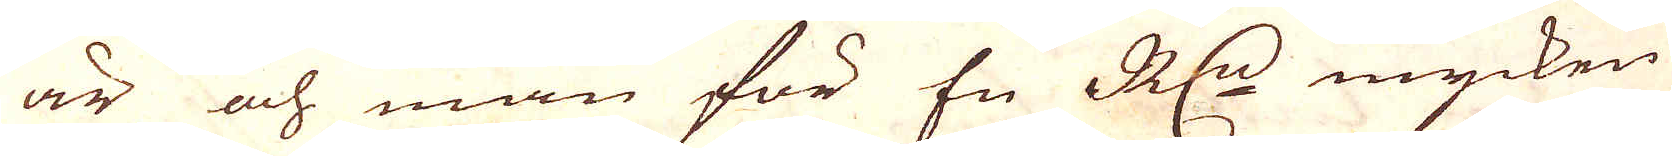är och man för En R:dr mycken
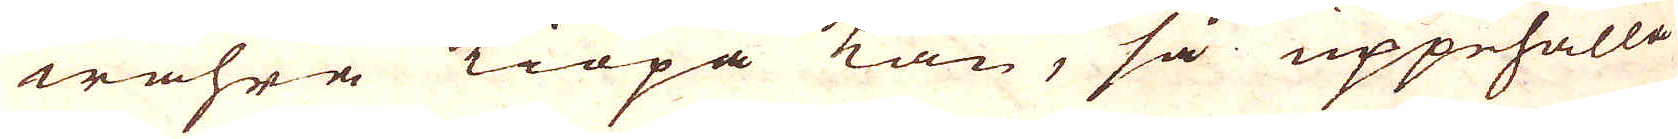wahra kiöpa kan, så uppehålla
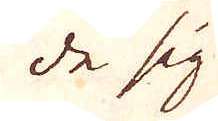de sig
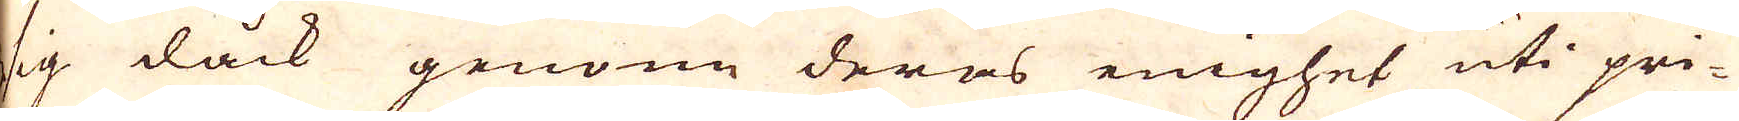sig dåck genom deras enighet uti pri-
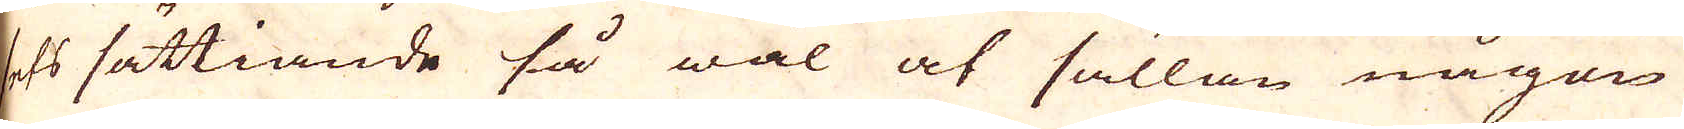sets sättiande så wäl at sällan någon
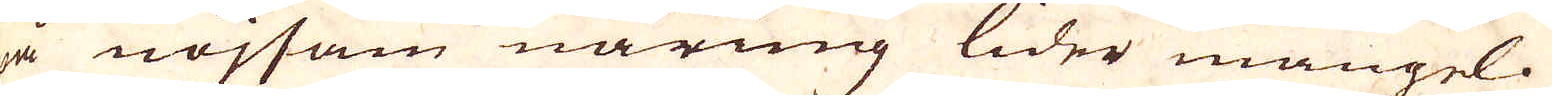på nöjsam näring lider mangel.
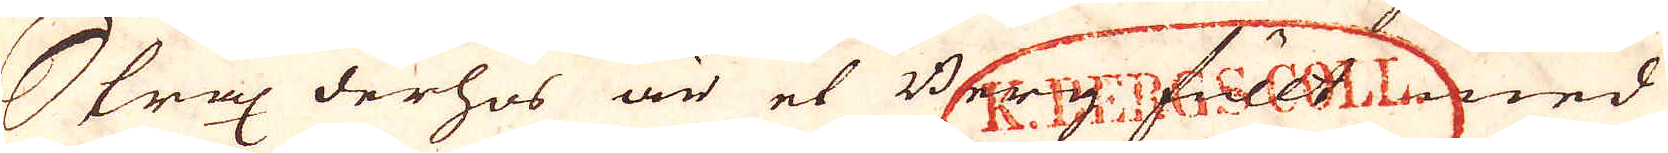Strax derhos är et Berg fullt med
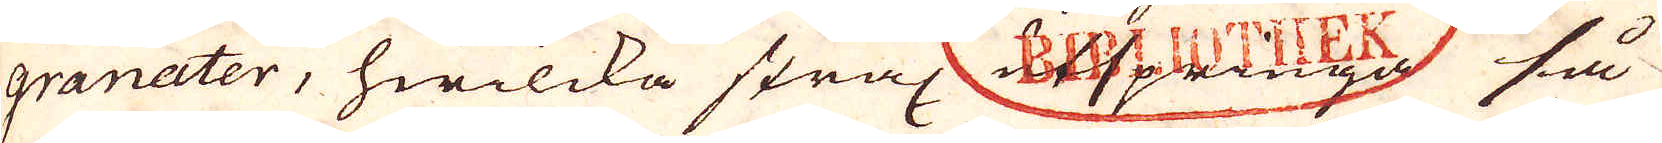granater, hwilcka strax utspringa så
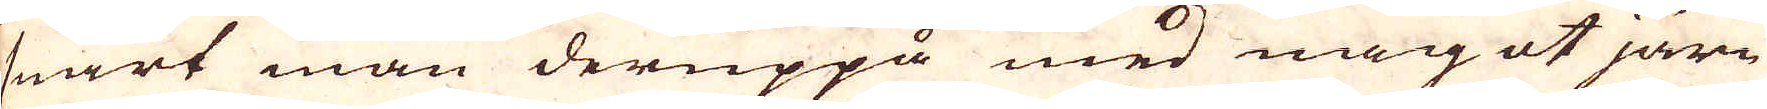snart man deruppå med något järn
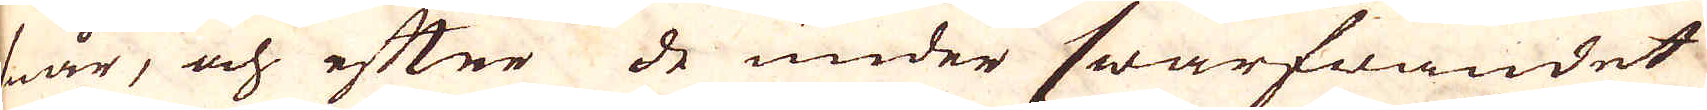snår, och efter de under swarfwandet
